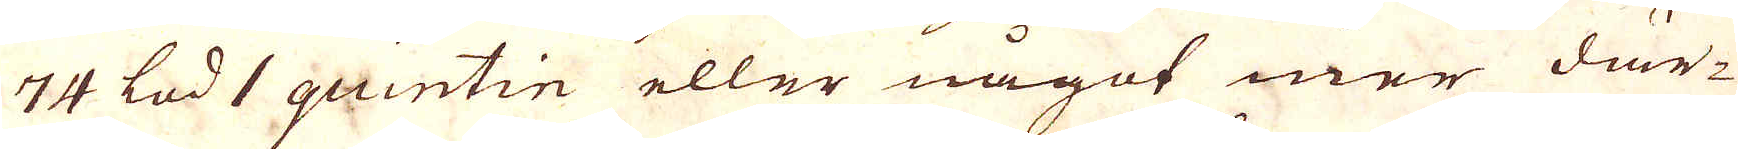74 lod 1 quintin eller något mer där-
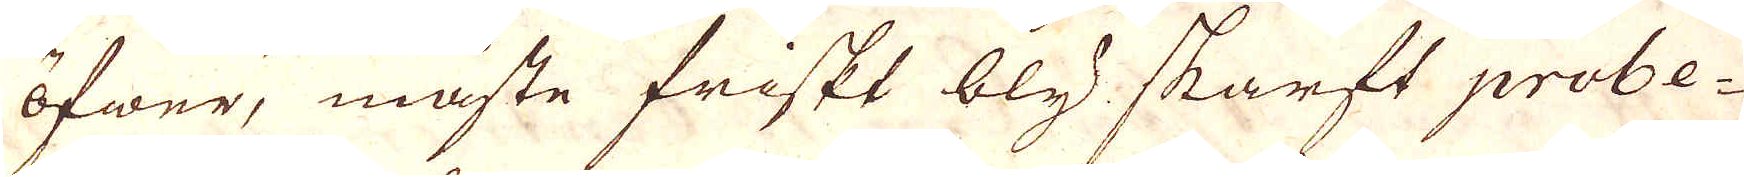öfwer, måste friskt bly skarft probe-
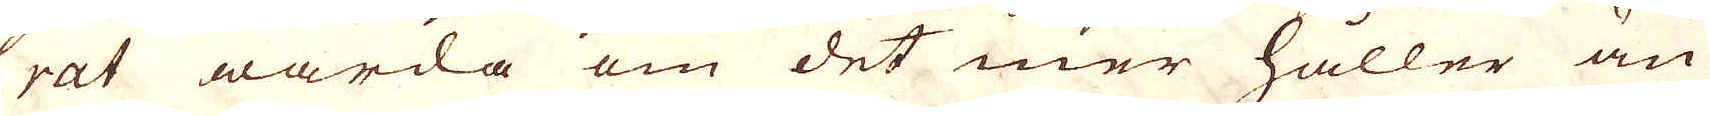rat wärda om det mer håller än
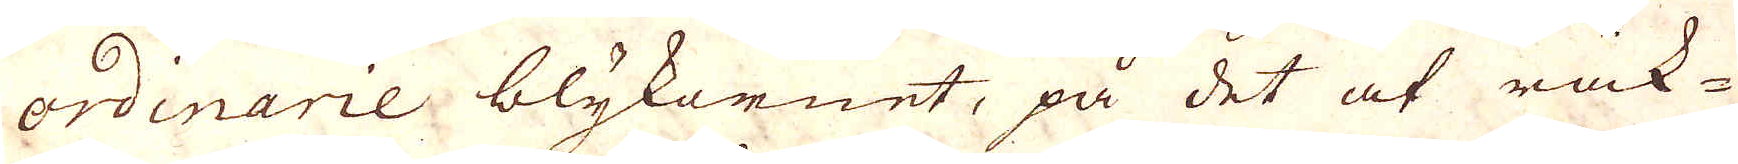ordinarie blykornet, på det at räk-
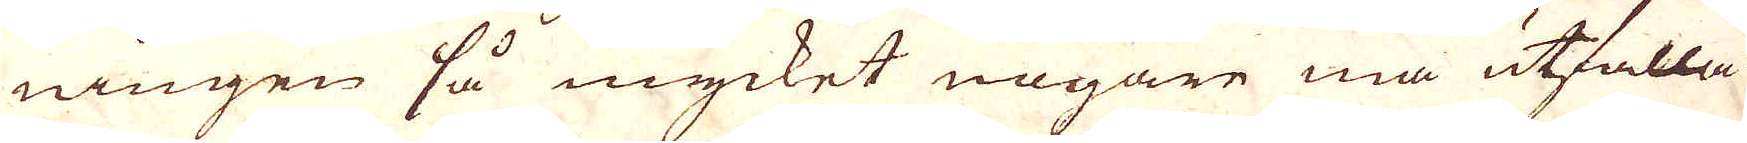ningen så mycket nogare må utfalla.
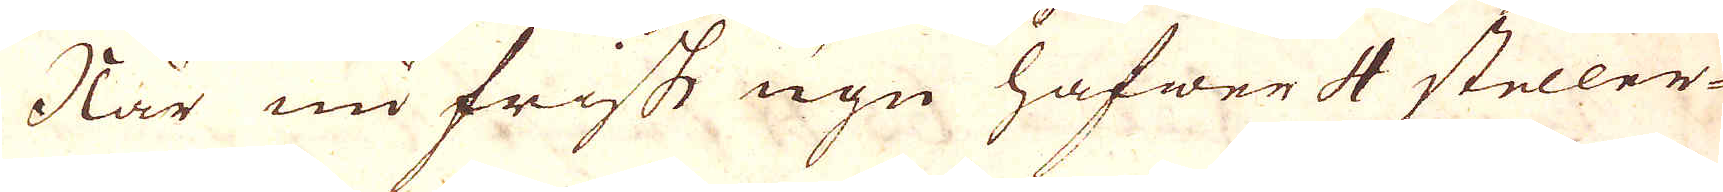När nu frisk ugn hafwer 4 steller-
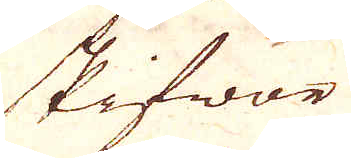skifwor
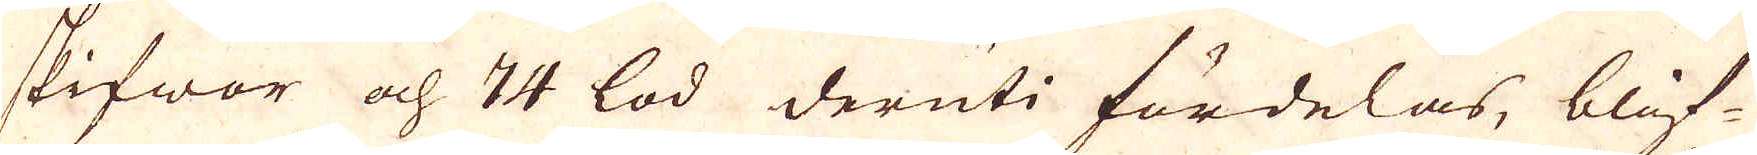skifwor och 74 lod deruti fördelas, blif-
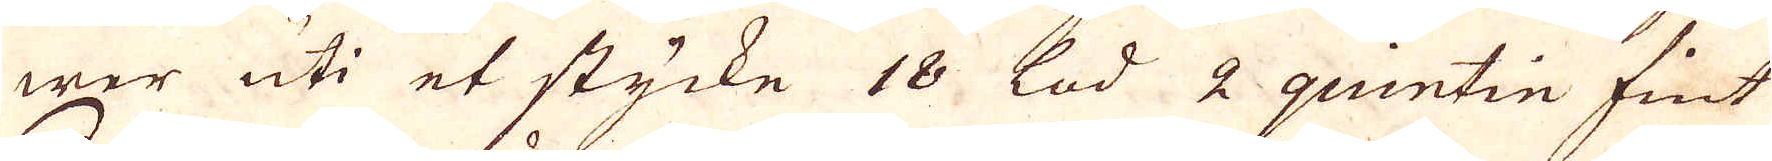wer uti et stycke 18 lod 2 quntin fint
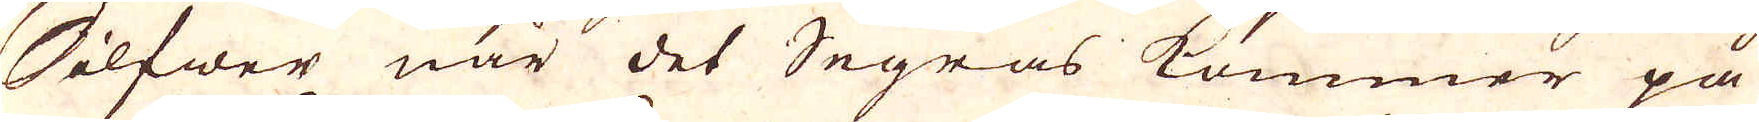Silfwer när det Segras kommer på
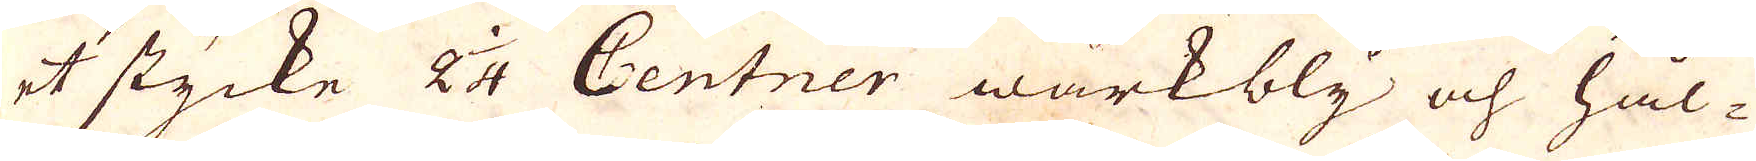et stycke 2 1/4 Centner wärkbly och hål-
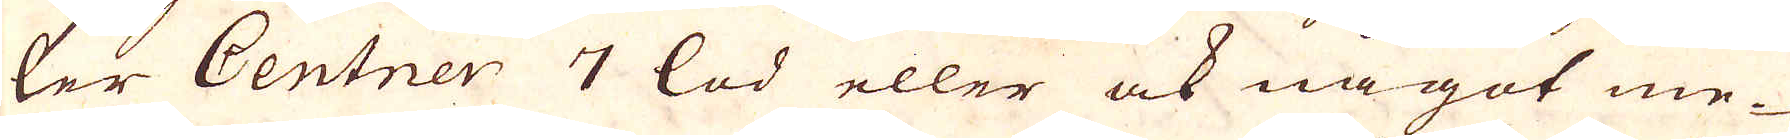ler Centner 7 lod eller ock något me-
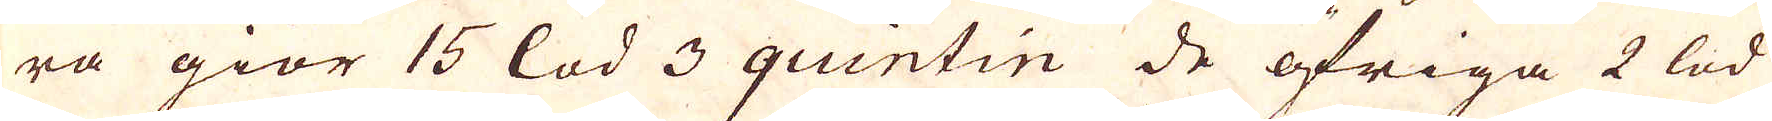ra giör 15 lod 3 quintin de öfriga 2 lod
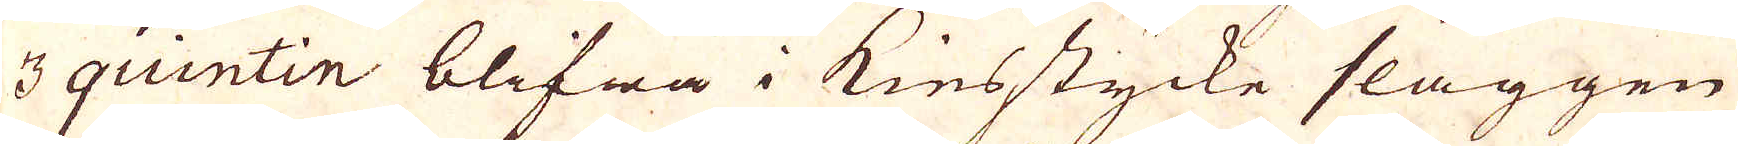3 quintin blifwa i Kiesstycke slaggen
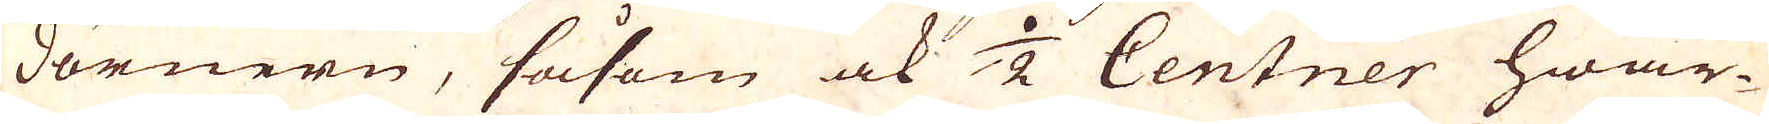dörnern, såsom ock 1/2 Centner hwar-
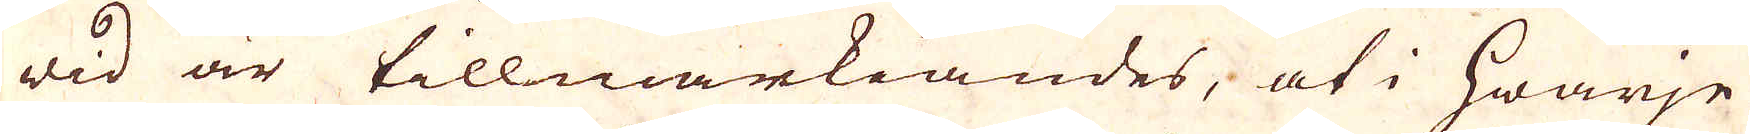wid är tillwärkiandes, at i hwarje
